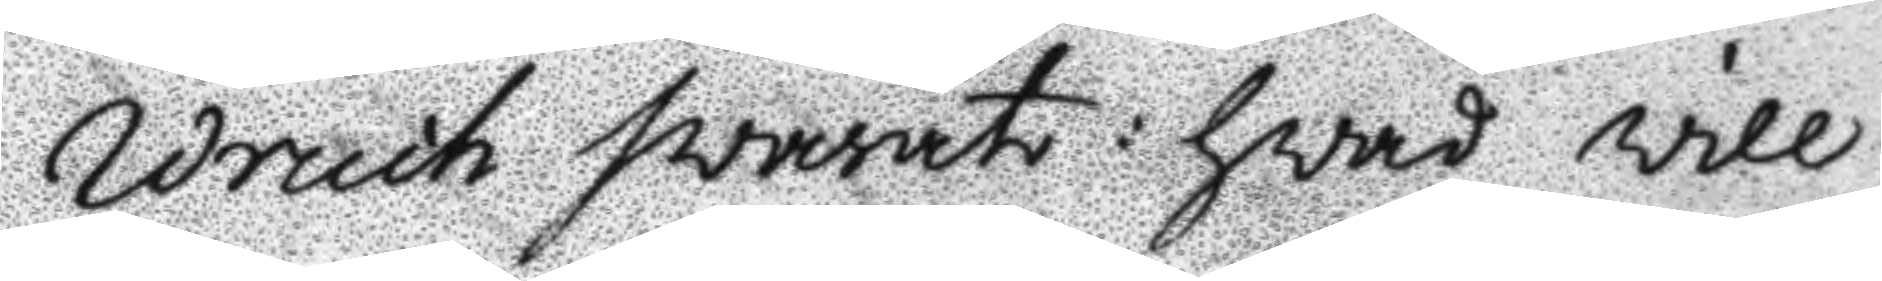Wruch svarat: hvad vill
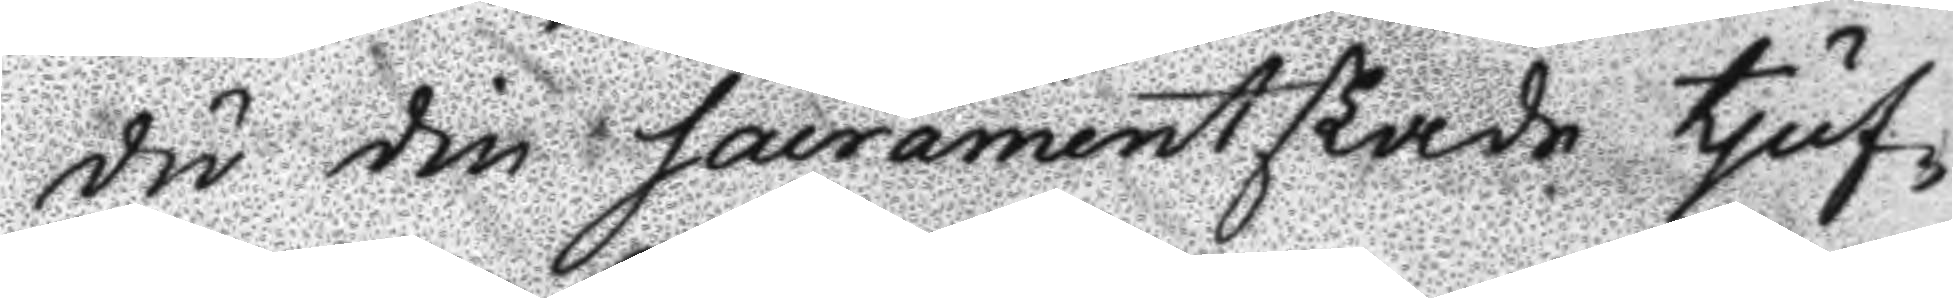du din sacrametskade tjuf¬
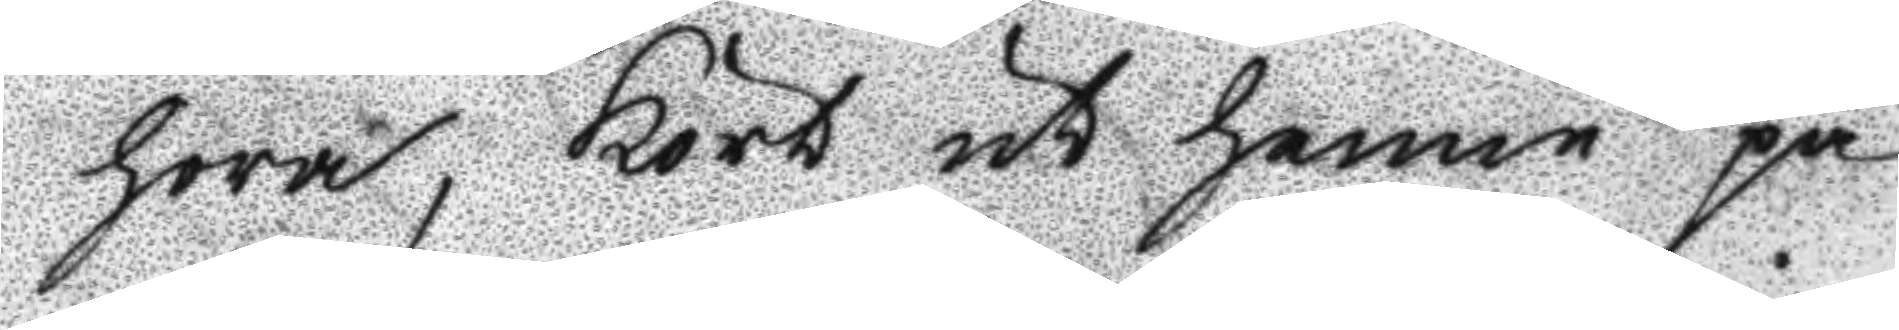hora, Kört ut henne på
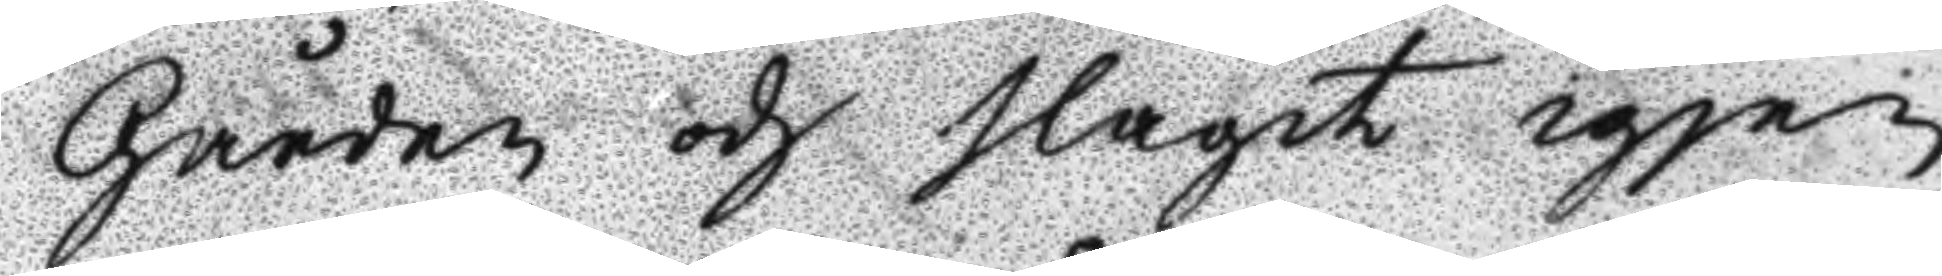Gården och slagit igjen
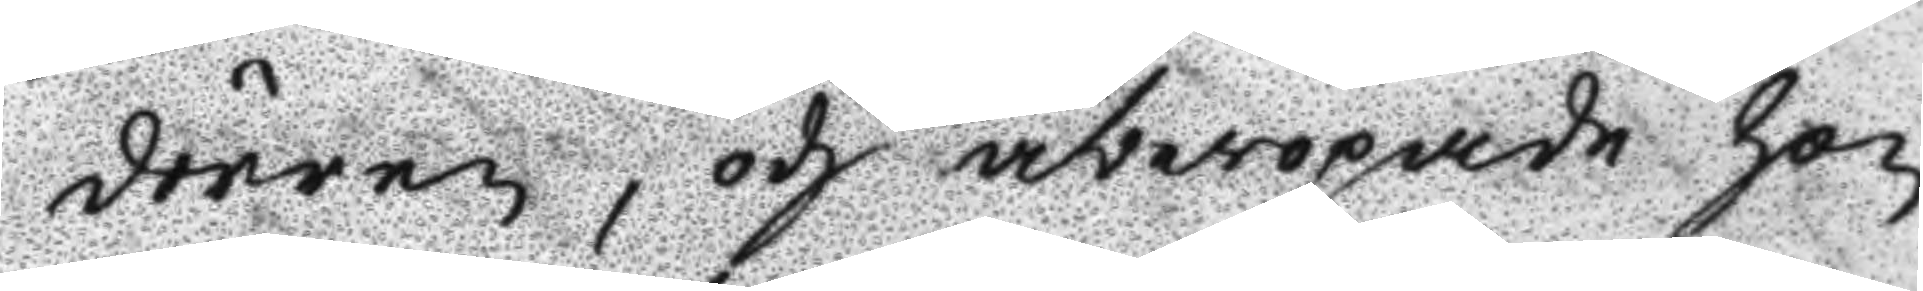dörren, och åberopade hon
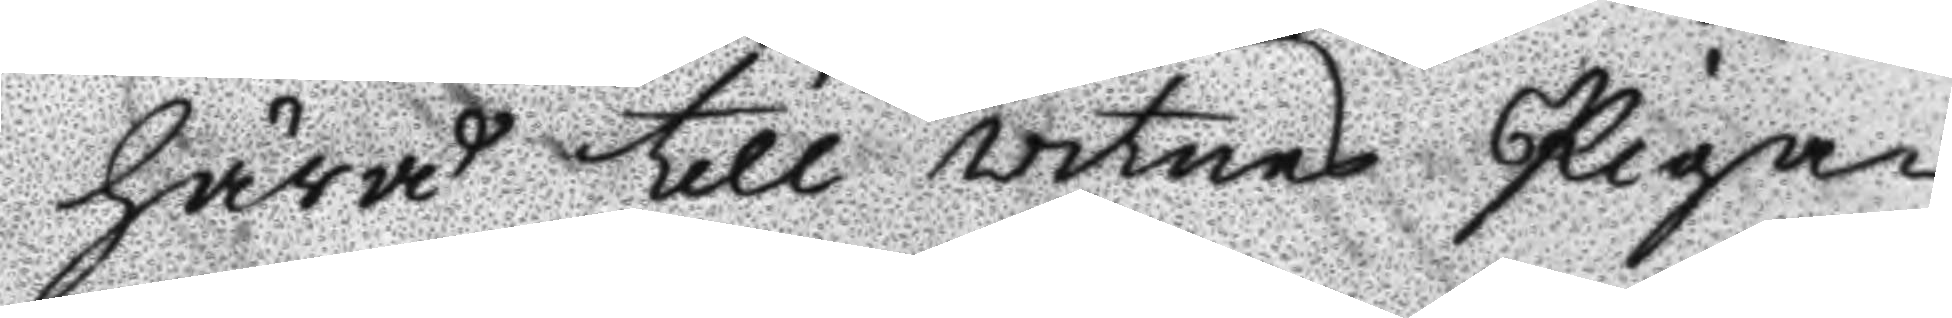härå till vitnes Pigan
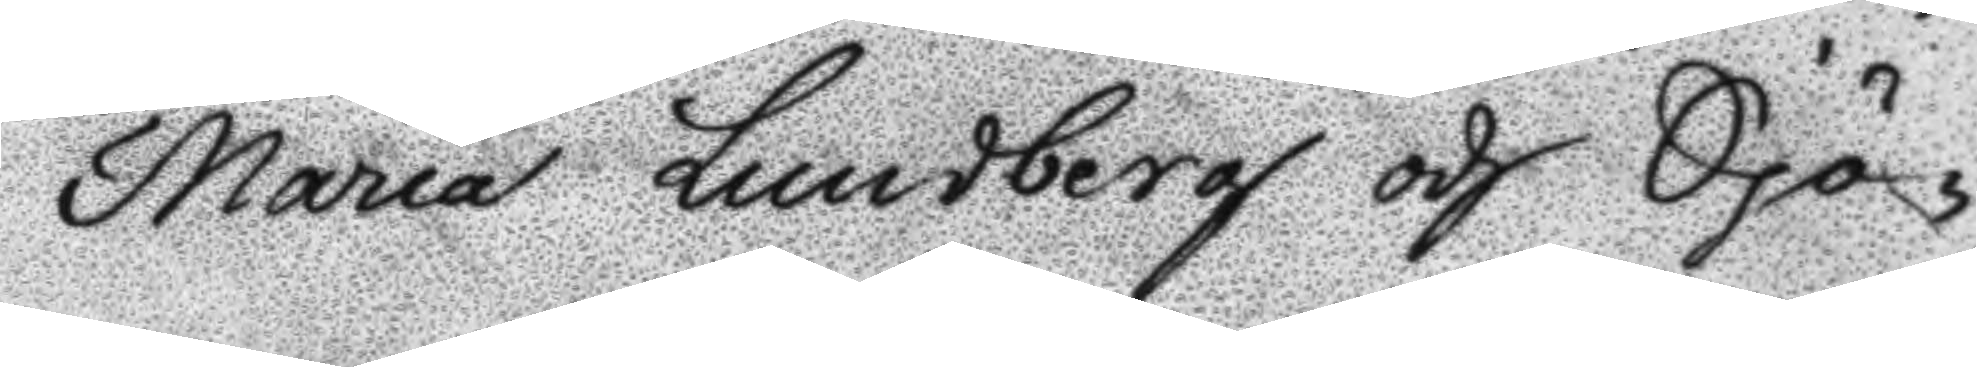Maria Lundberg och Sjö¬
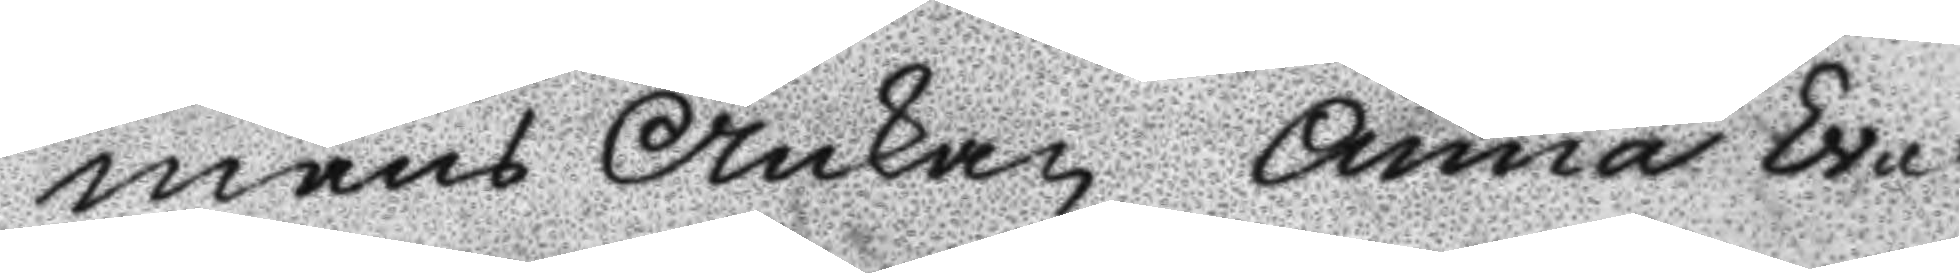mans Änkan Anna Eva
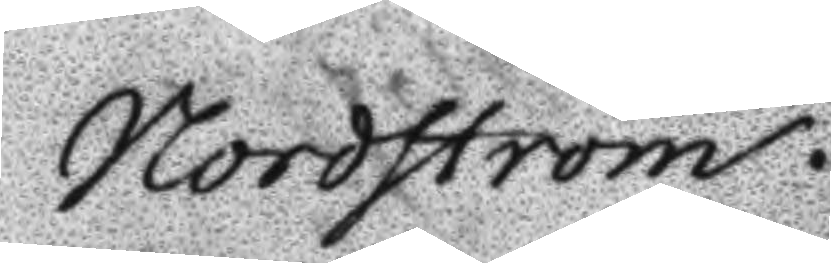Nordström.
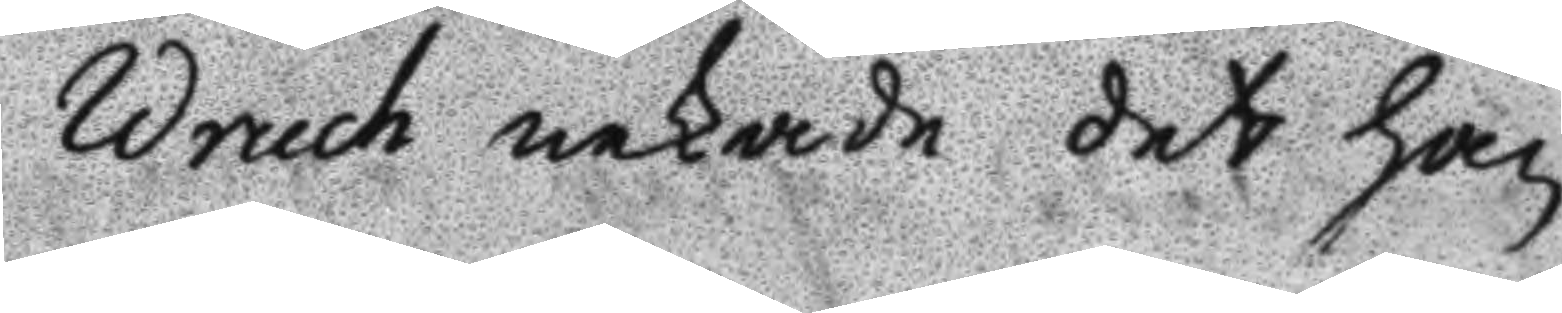Wruch nekade det han
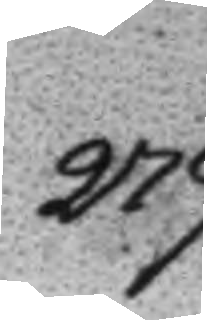279
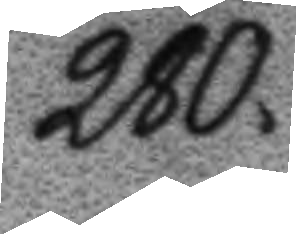280
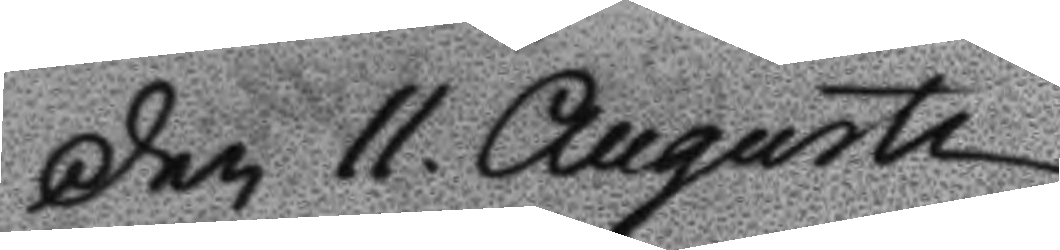Den 11. Augusti
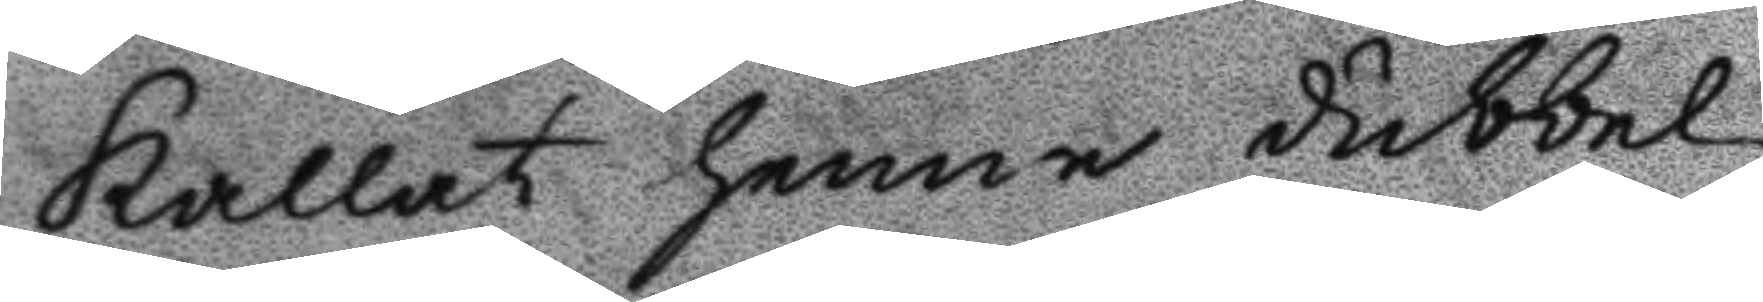kallat henne dubbel
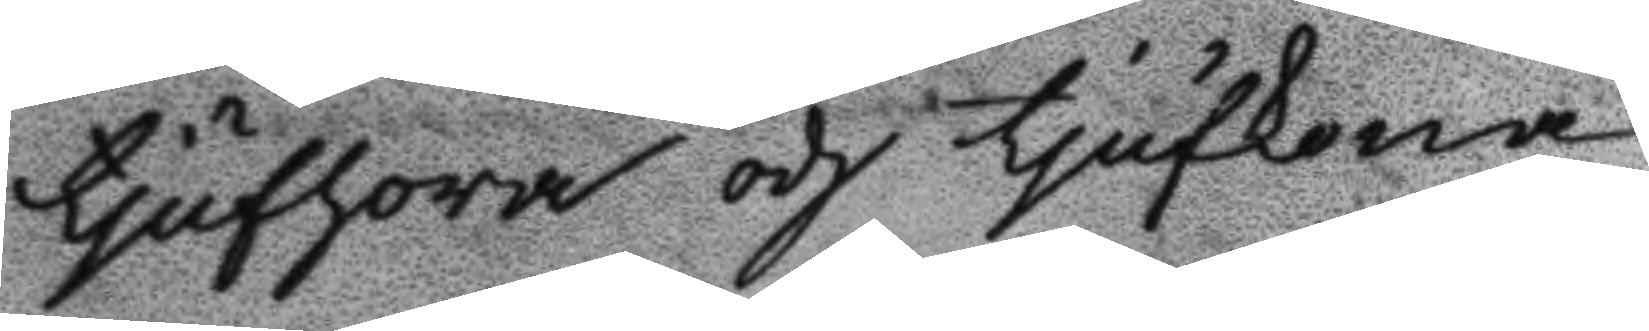tjufhora och tjufkona,
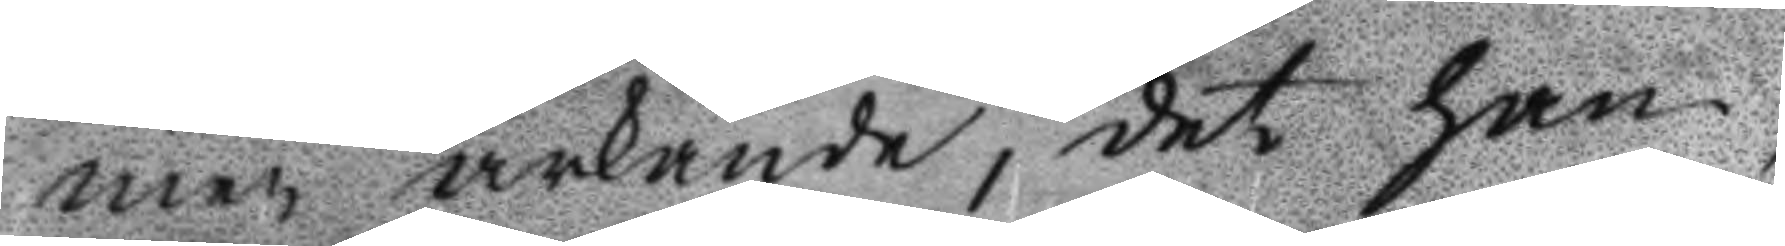men ärkände, det han,
